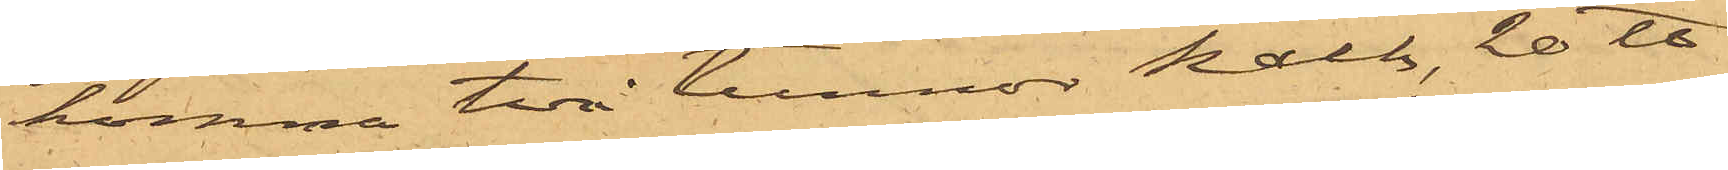komma två tunnor kalk, 20 ℔
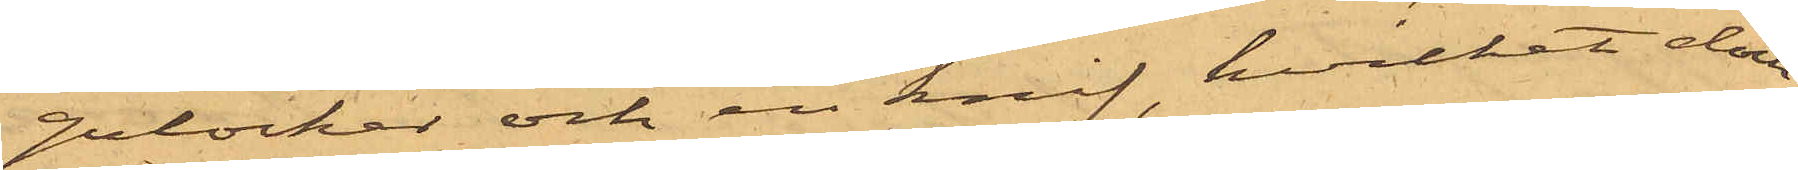gulocker och en knif, hvilket dock
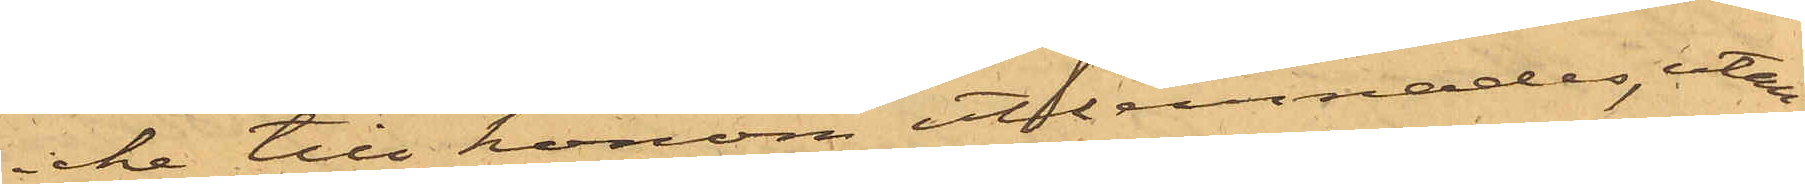icke till honom utlemnades, utan
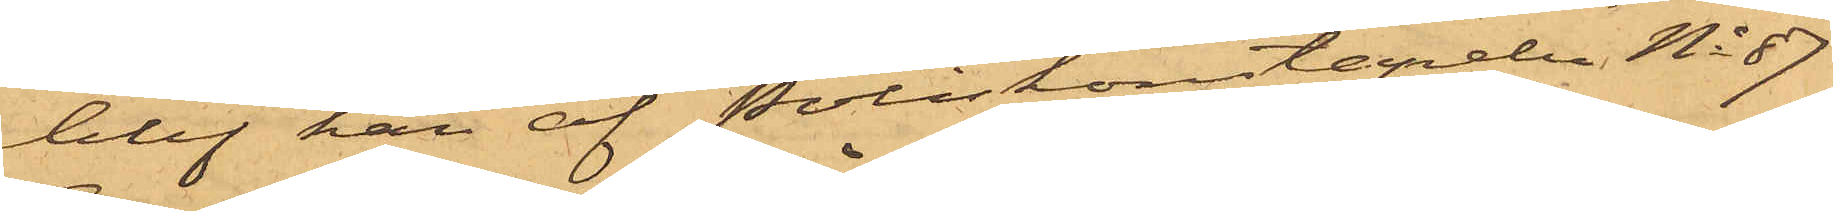blef han af Poliskonstapeln No 57
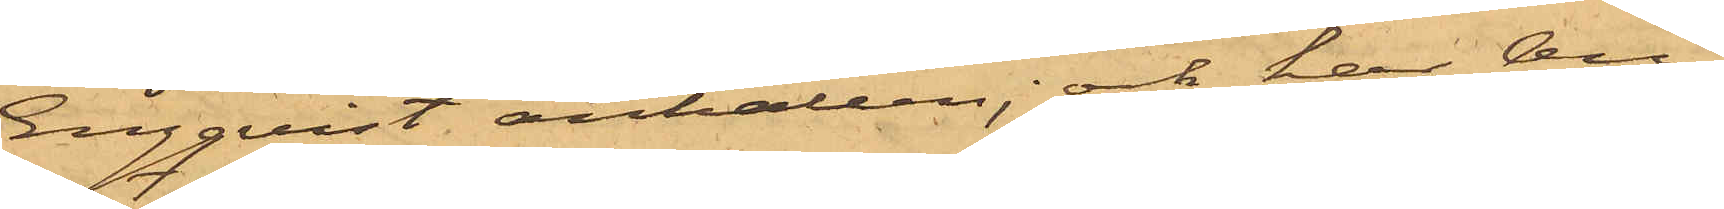Engqvist anhållen; och har An¬
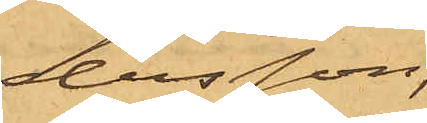dersson,
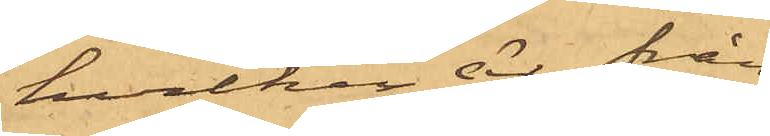hvilken är från
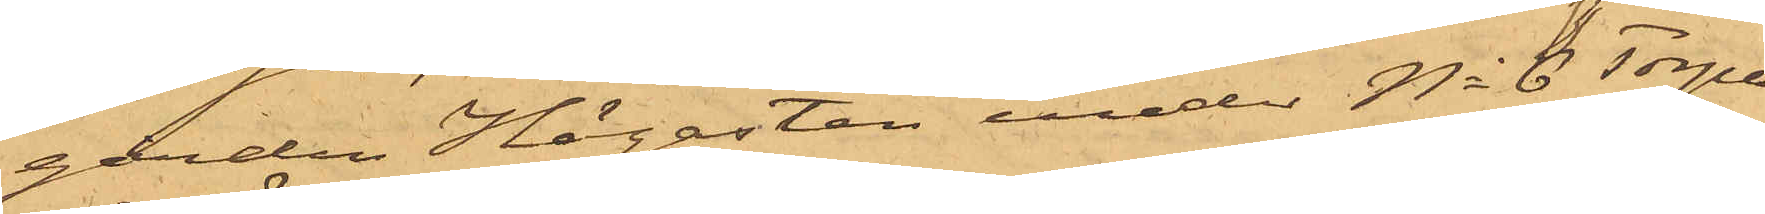gården Högasten under No 8 Torpa
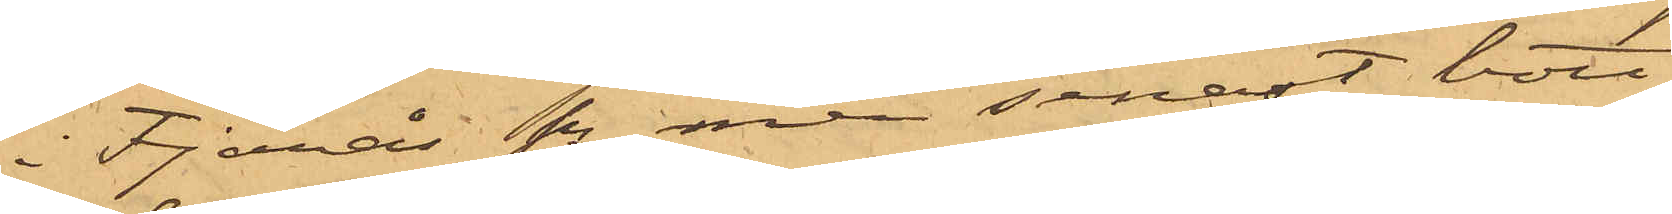i Fjärås Sn men senast bott
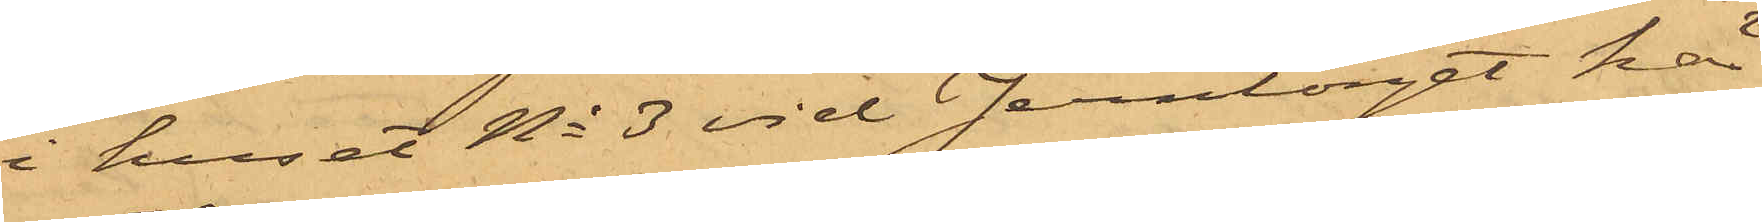i huset No 3 vid Jerntorget här
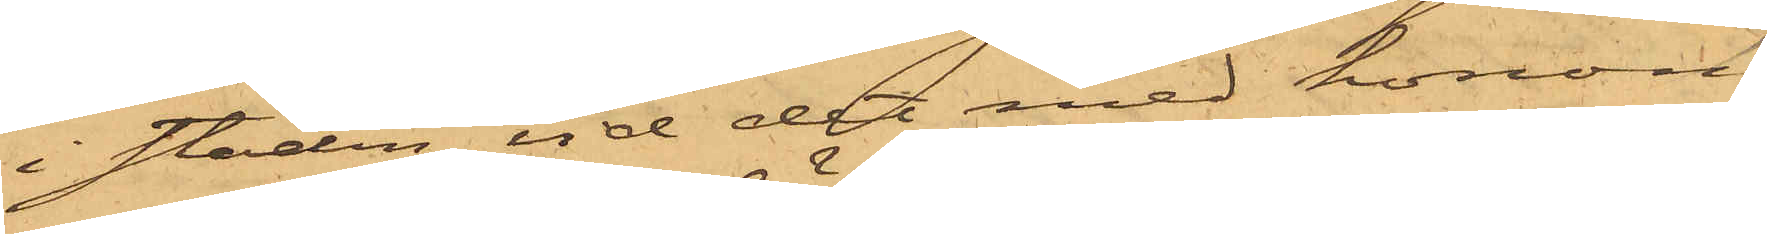i staden vid det med honom
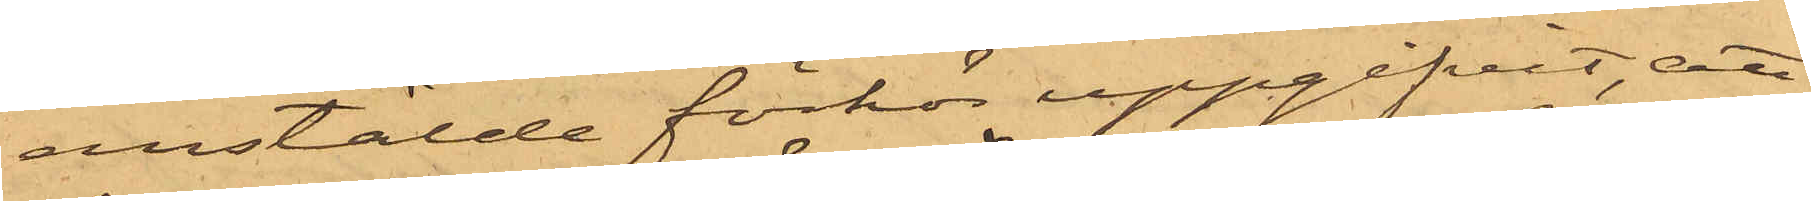anstälde förhör uppgifvit, att
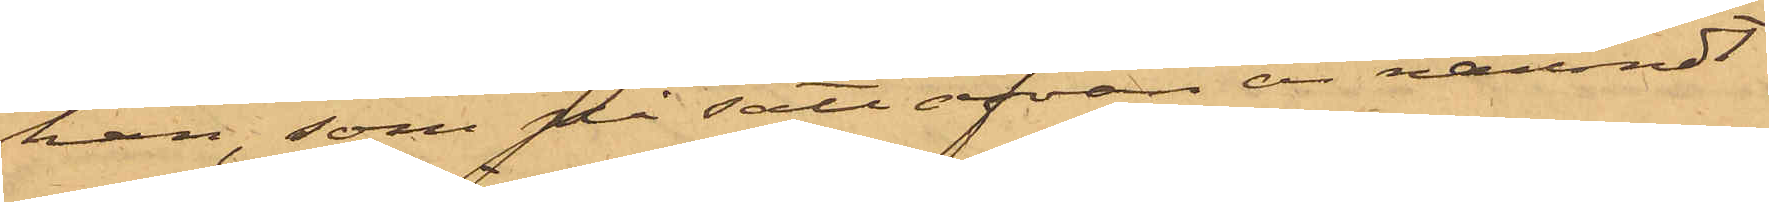han, som på sätt ofvan är nämndt
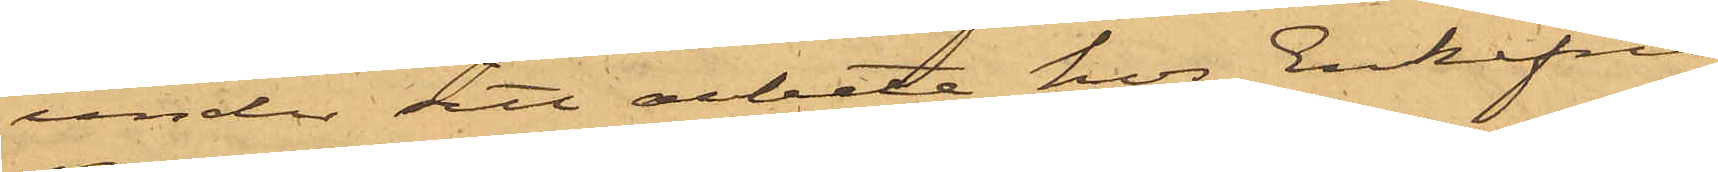under sitt arbete hos Enkefru
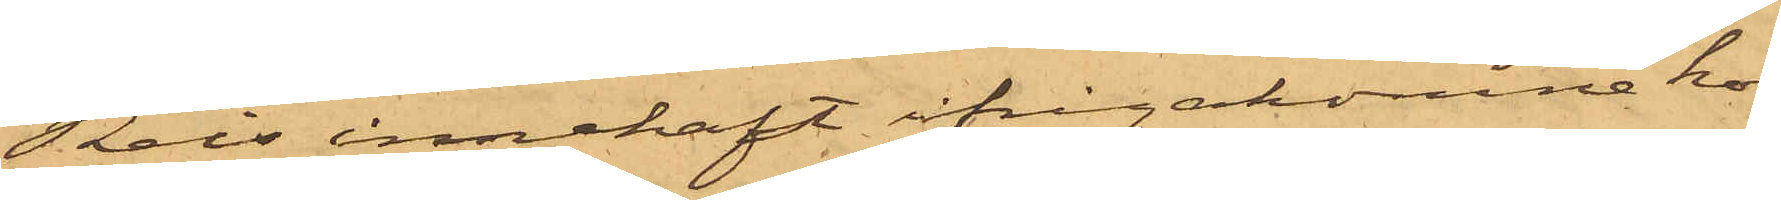Reis innehaft ifrågakomne kon¬
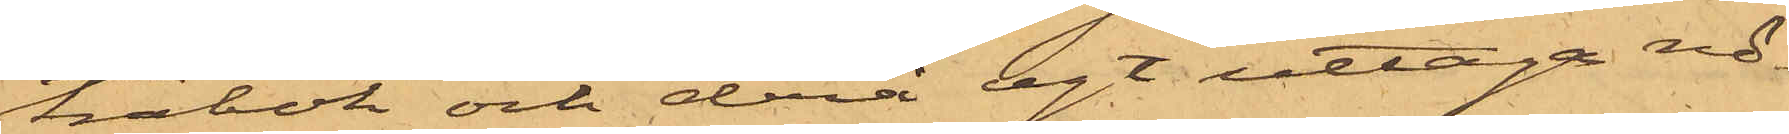trabok och derå egt uttaga nö¬
